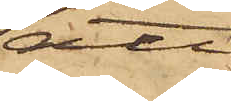att
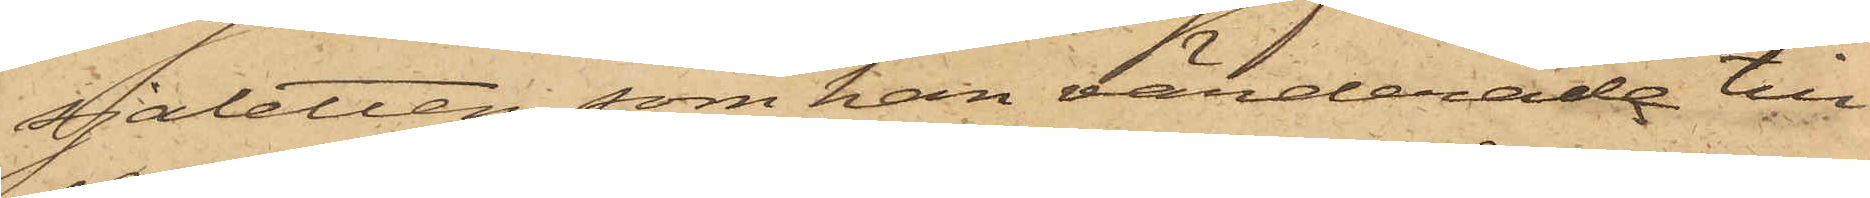sjaletten, som han värderade till
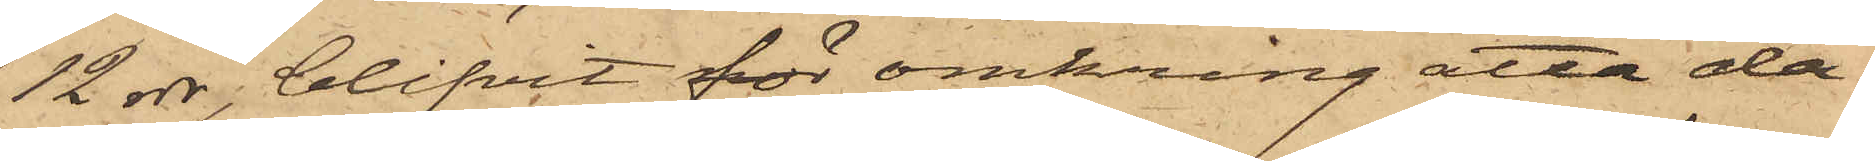12 rdr, blifvit för omkring åtta da¬
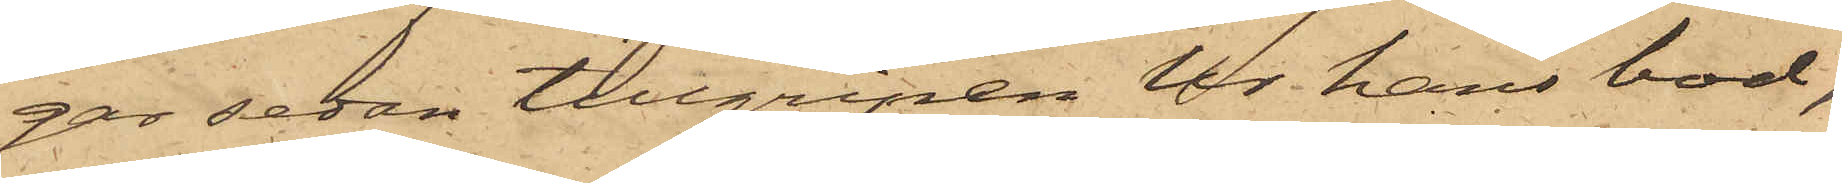gar sedan tillgripen ur hans bod,
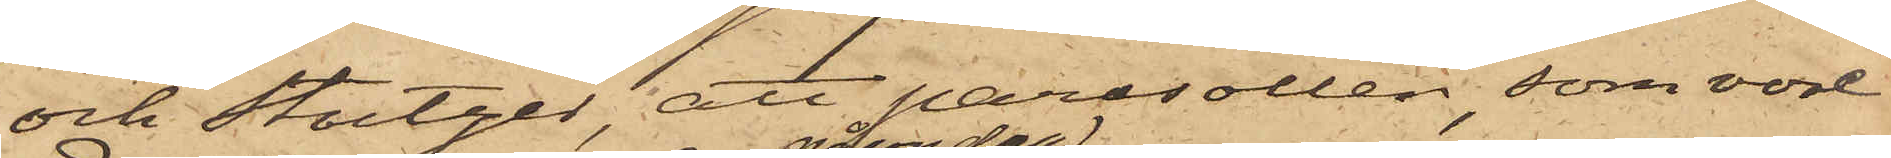och Stutzer, att parasollen, som var
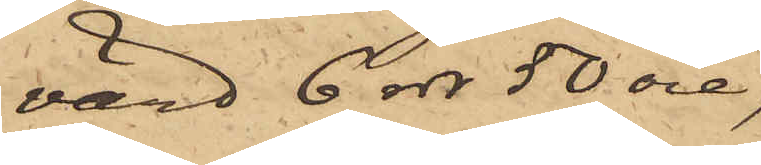värd 6 rdr 50 öre,
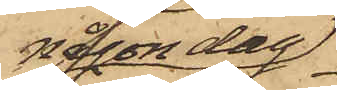någon dag
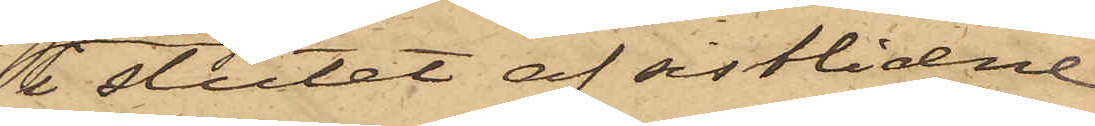i slutet af sistlidne
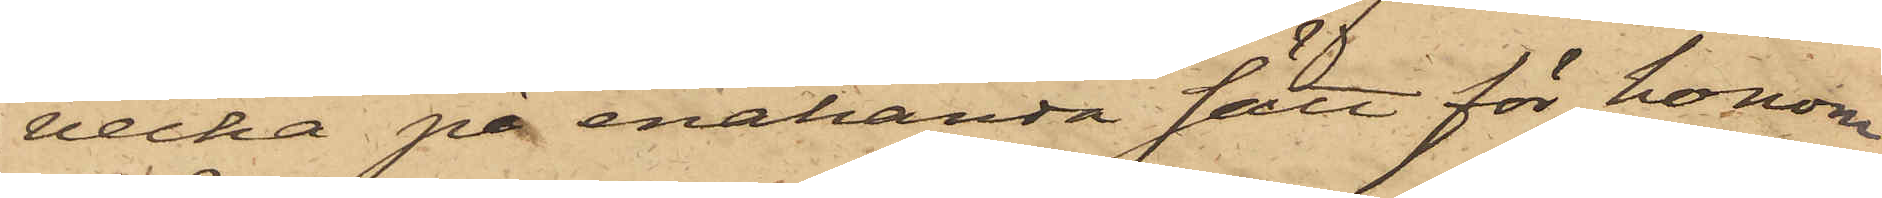vecka på enahanda sätt för honom
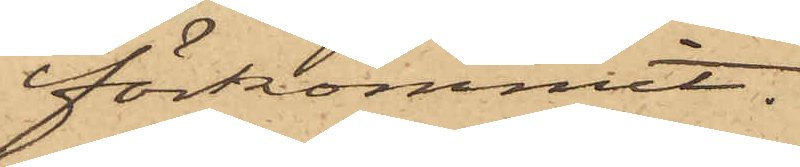förkommit.
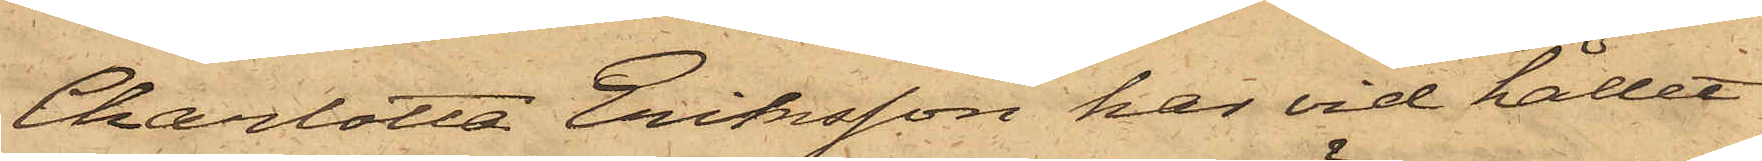Charlotta Eriksson har vid hållet
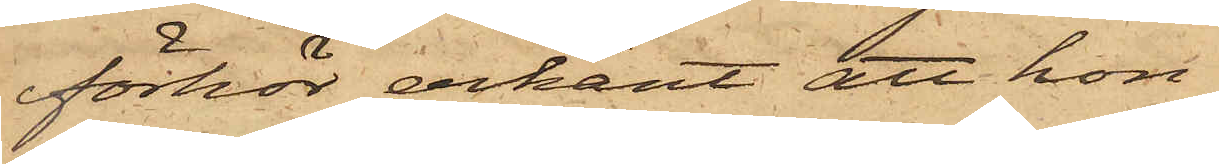förhör erkänt att hon
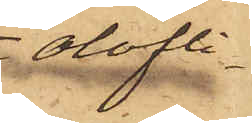olofli¬
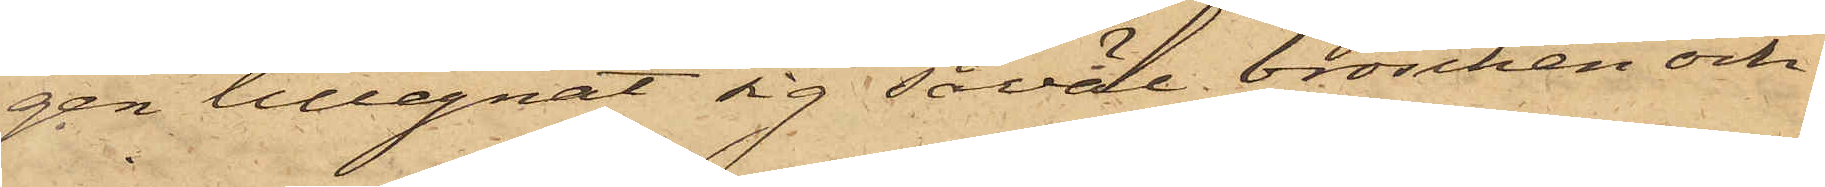gen tillegnat sig såväl broschen och
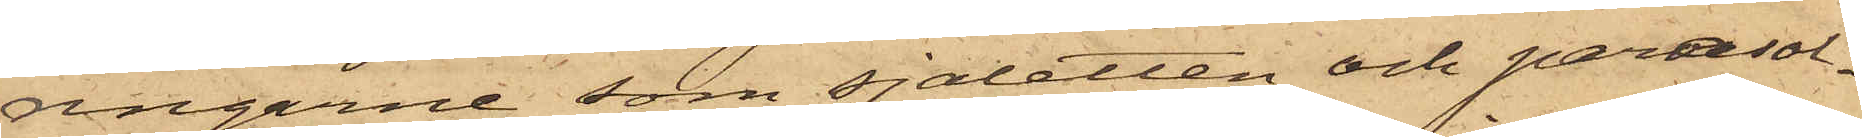ringarne som sjaletten och parasol¬
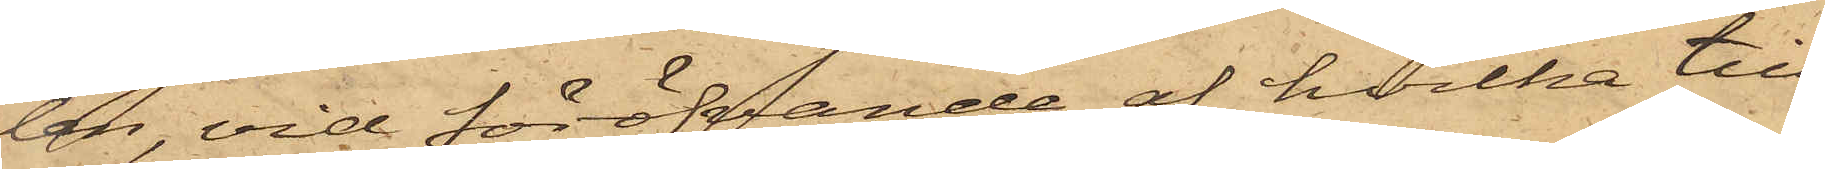len, vid föröfvande af hvilka till¬
